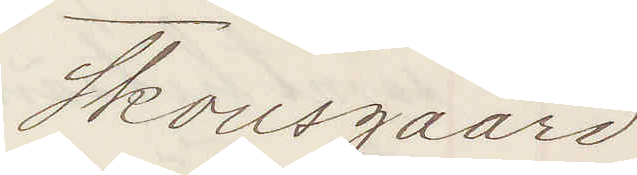Skousgaard
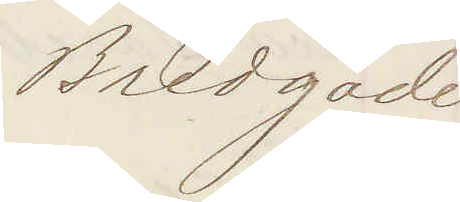Bredgade
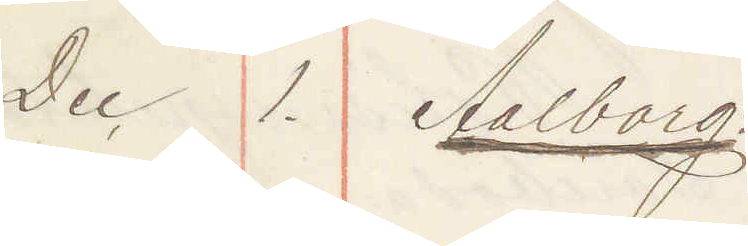Dec 1. Aalborg:
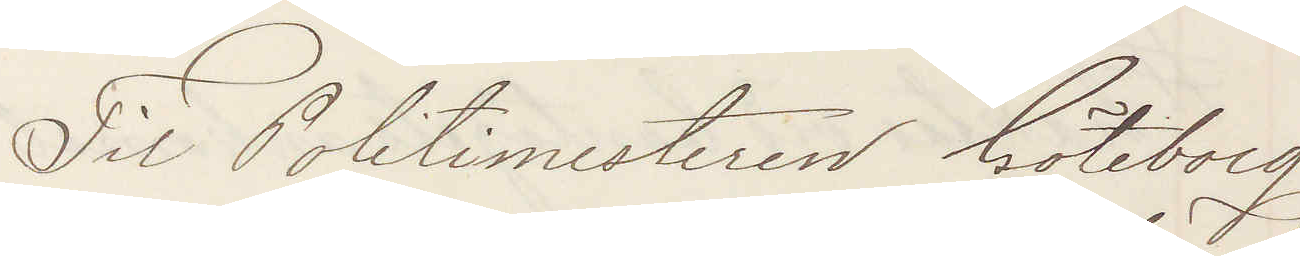Til Politimesteren Göteborg
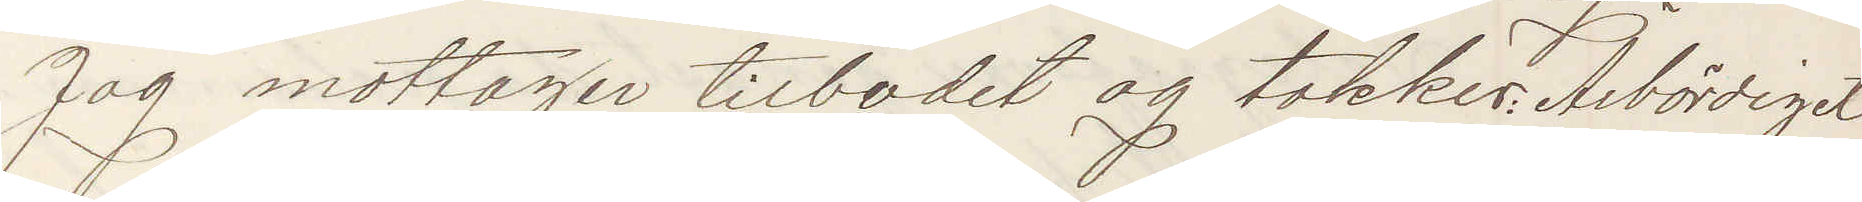Jag mottager tilbodet og takker: Arbördiget
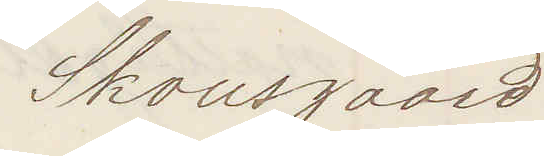Skousgaard
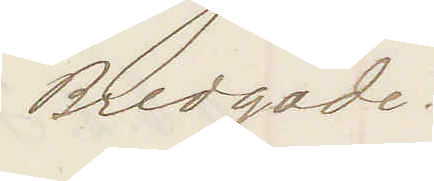Bredgade.
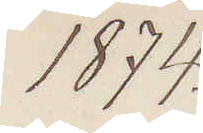1874.
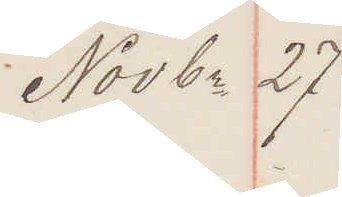Novbr 27
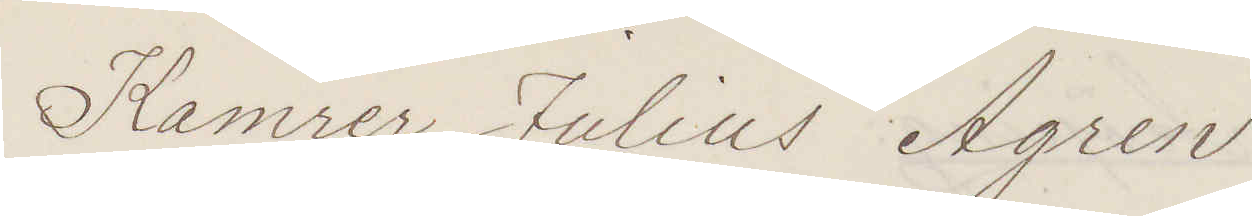Kamrer Julius Ågren
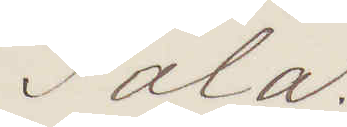Sala.
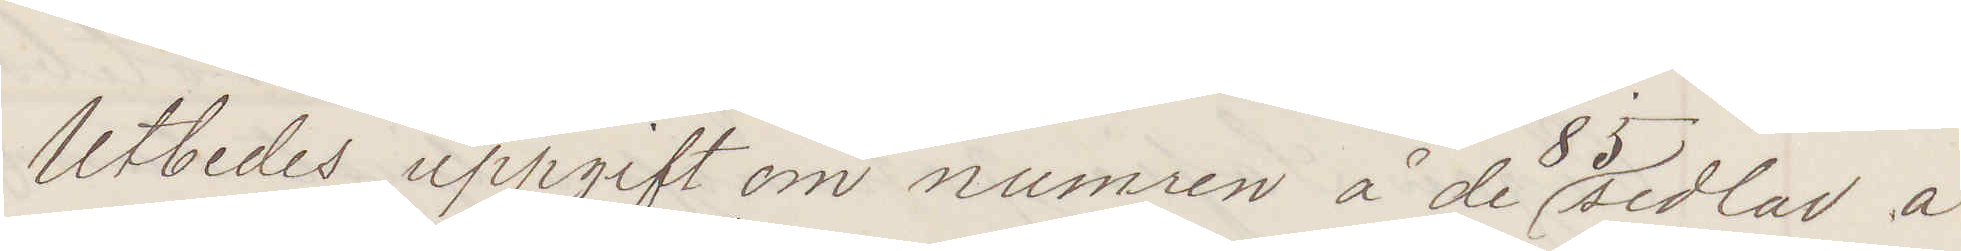Utbedes uppgift om numren å de 85 sedlar å
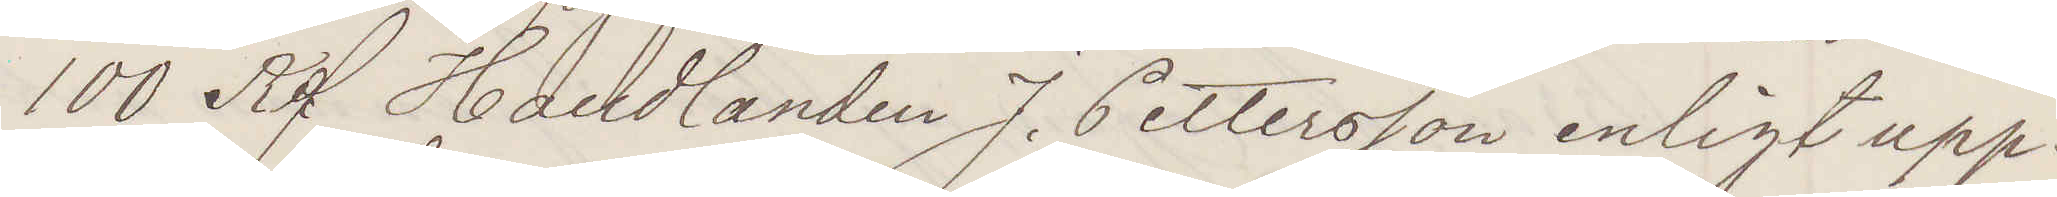100 Rd Handlanden J. Petterson enligt upp¬
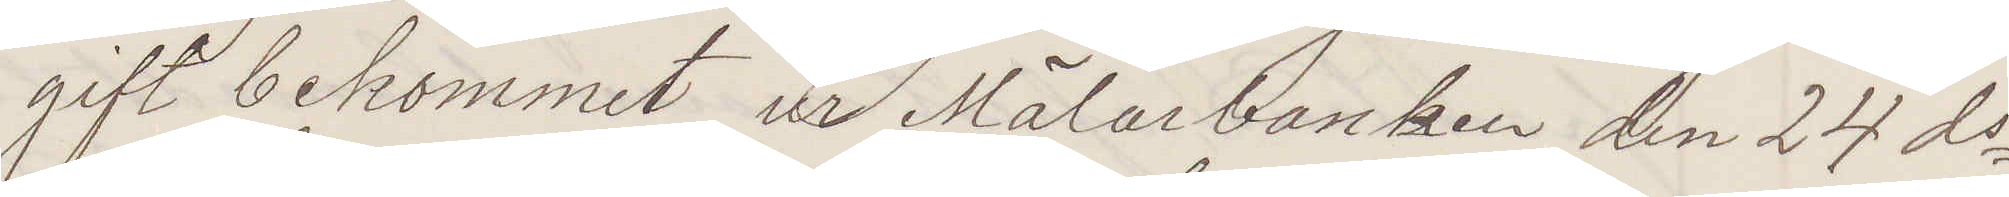gift bekommit ur Mälarbanken den 24 ds
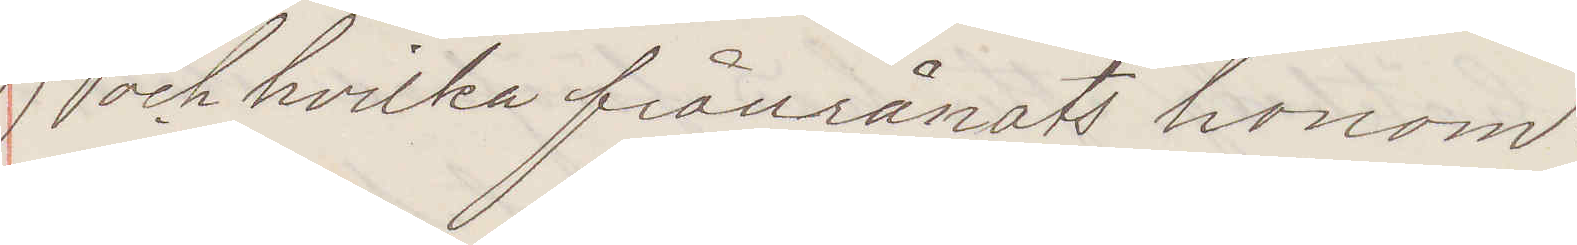och hvilka frånrånats honom:
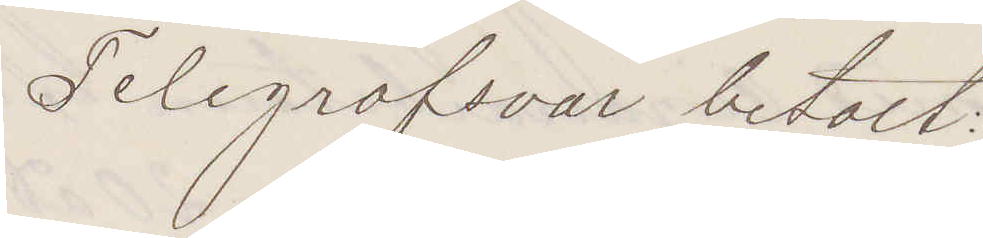Telegrafsvar betalt:
